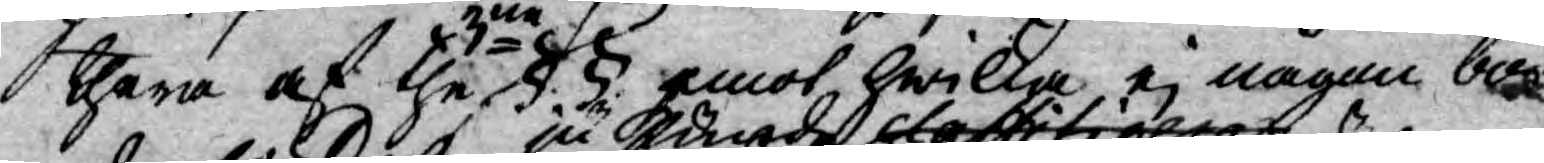thera af the 3ne §§. emot hwilka ej någon bor¬
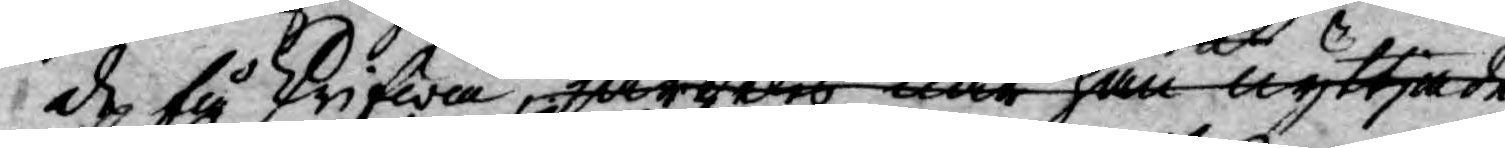de få skrifwa, särdeles eller han nyttjade
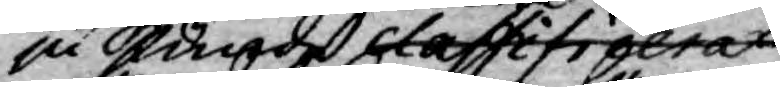ju kunde classificera
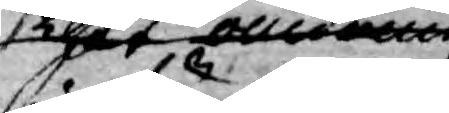thet omnäm 
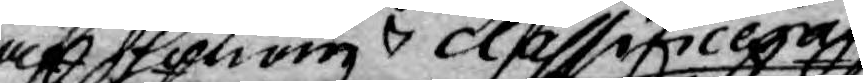af honom classificeras
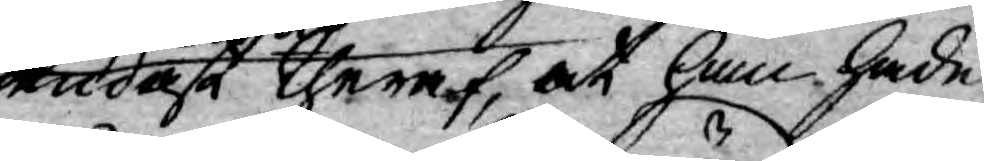endast theraf, at han hade
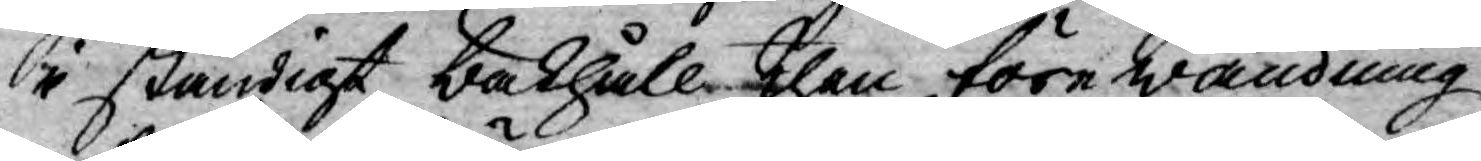i ständigt bakhåll then förewändning
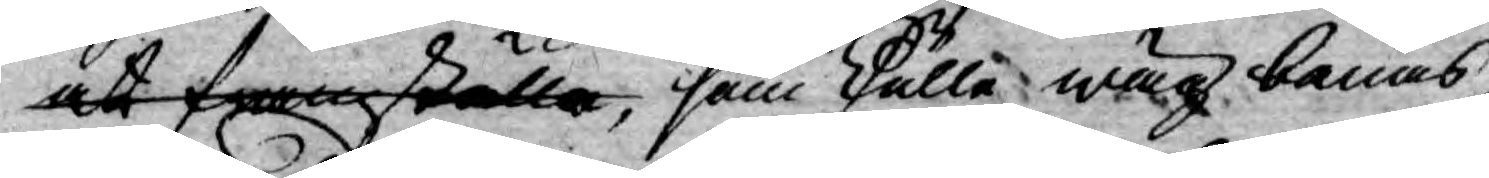at framställa, som skulle wäg banas,
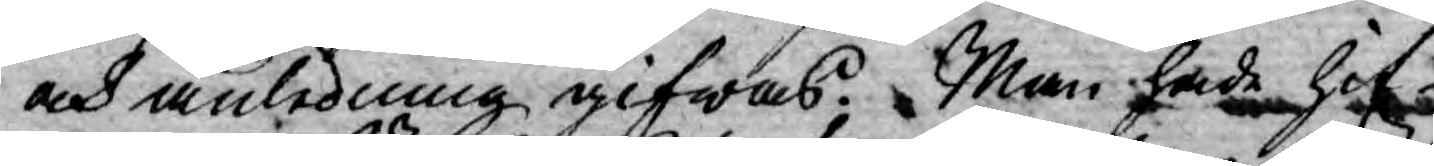och anledning gifwas. Man hade hit¬
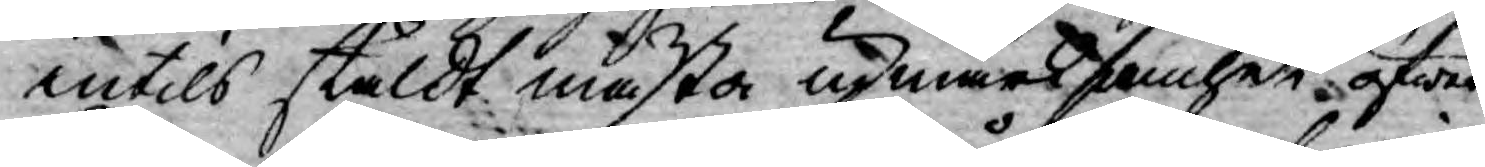intils stäldt mästa upmärksamhet öfwer
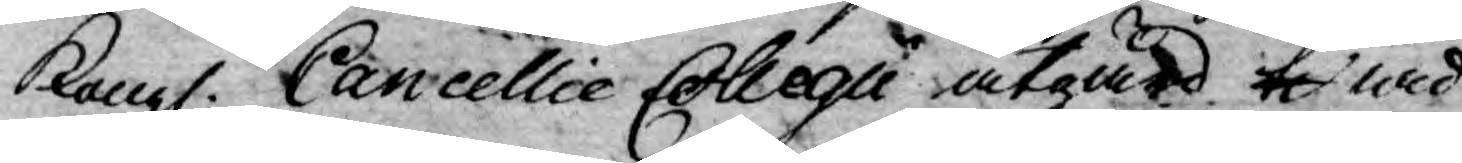Kongl. Cancellie Collegii åtgärd ti wid
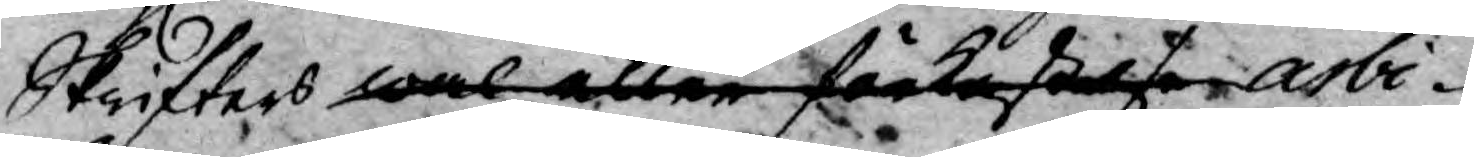Skrifters wal eller förkastelse arbi¬
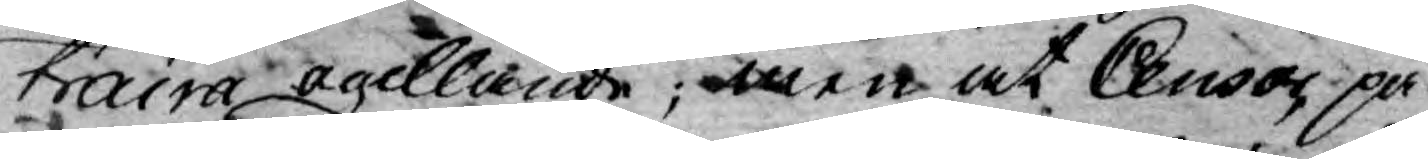traira ogillande; men at Censor på
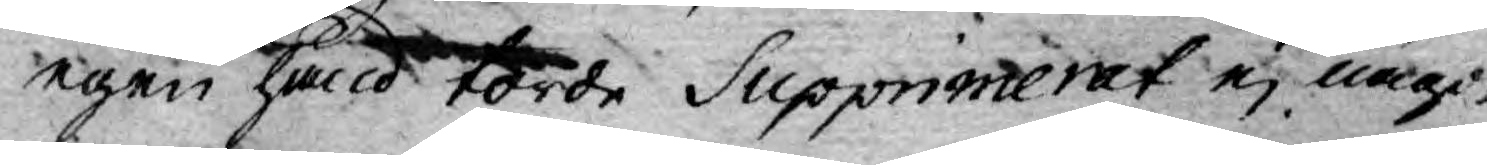egen hand torde Supprimerat ej något
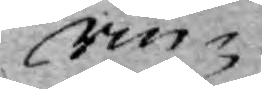rin¬
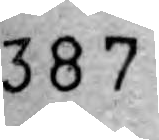387
